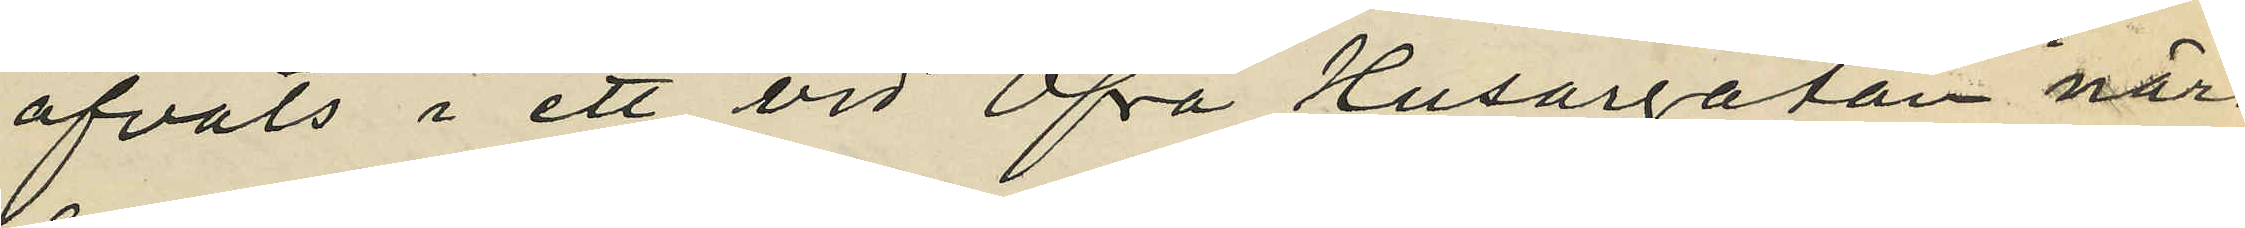öfvats i ett vid Öfra Husargatan i när¬
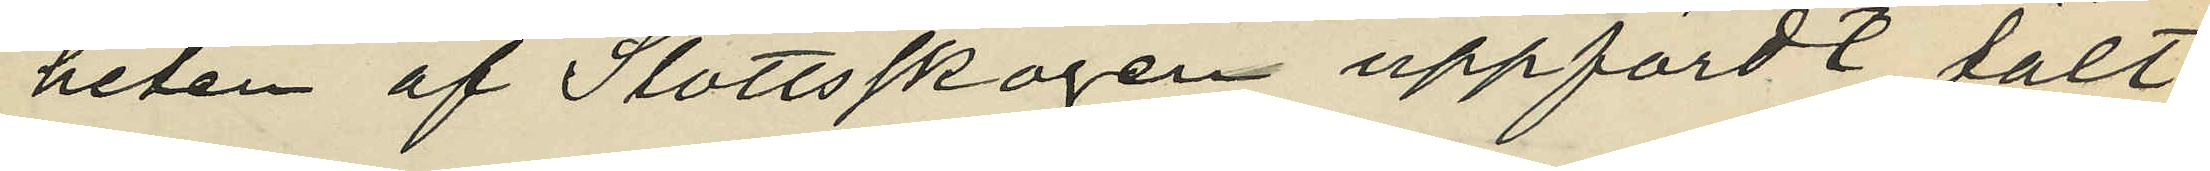heten af Slottsskogen uppfördt tält;
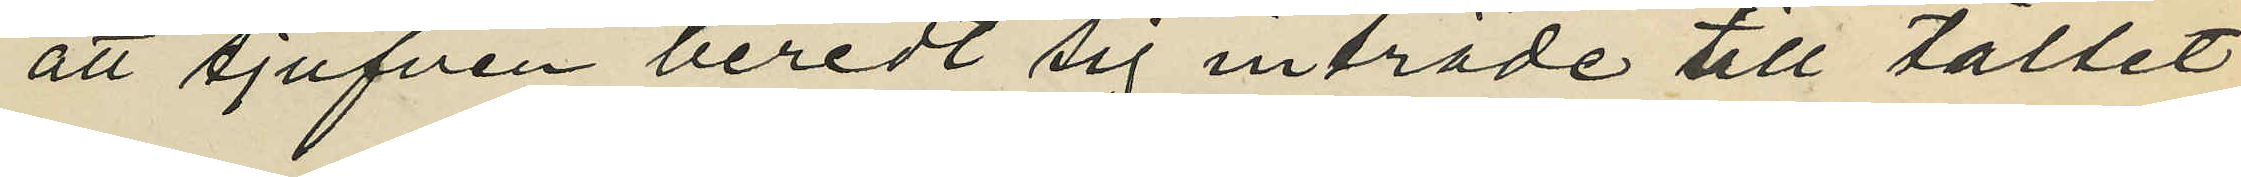att tjufven beredt sig inträde till tältet
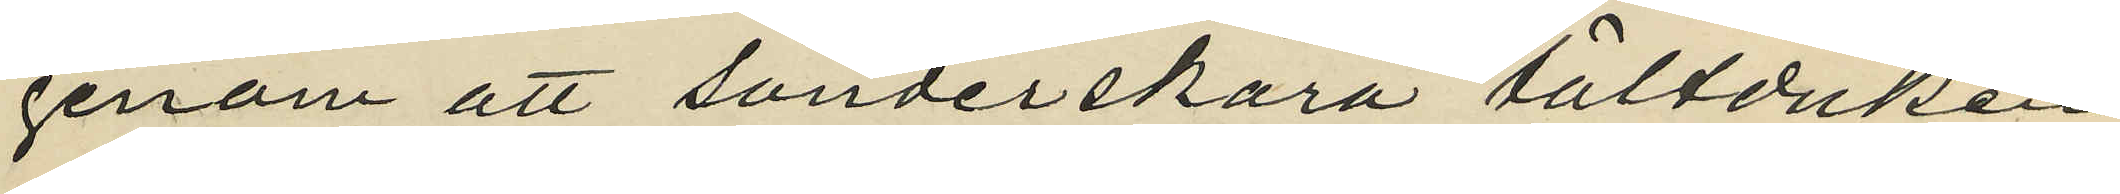genom att sönderskära tältduken
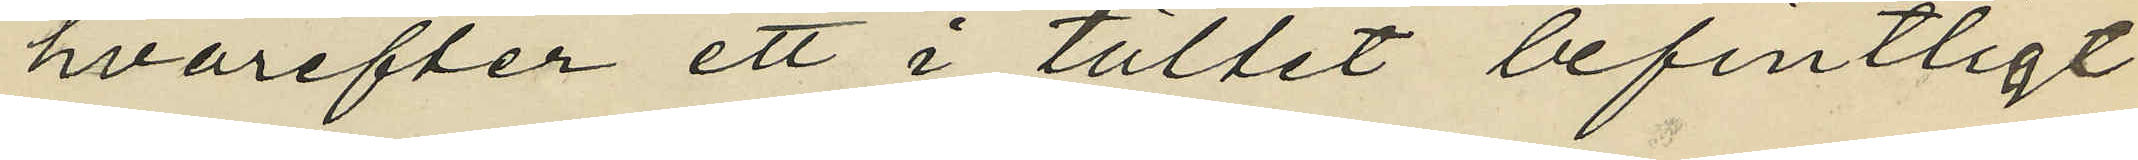hvarefter ett i tältet befintligt
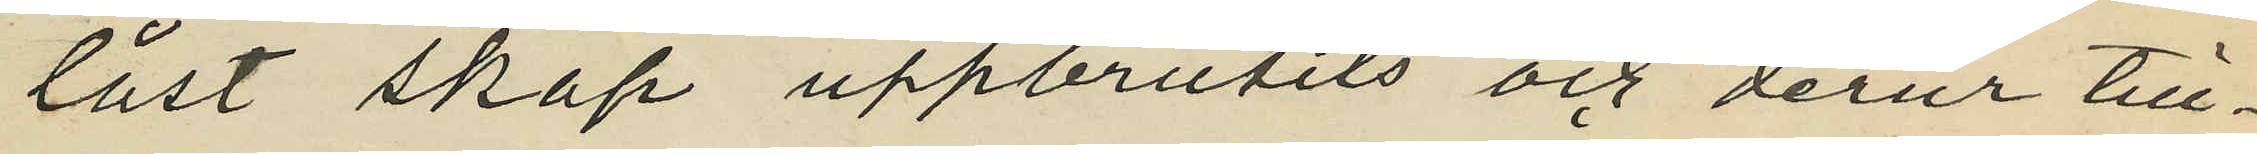låst skåp uppbrutits och derur till¬
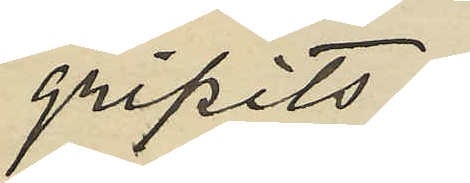gripits:
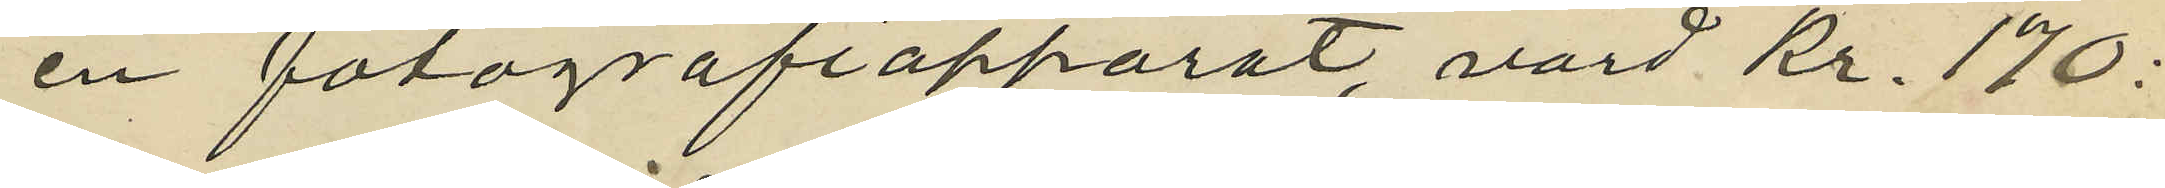en fotografriapparat, värd Kr. 170:
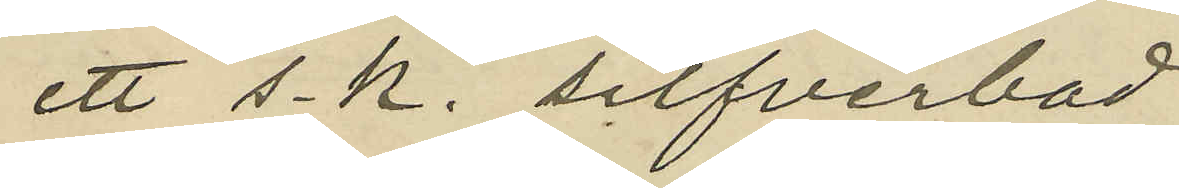ett s. k. silfverbad
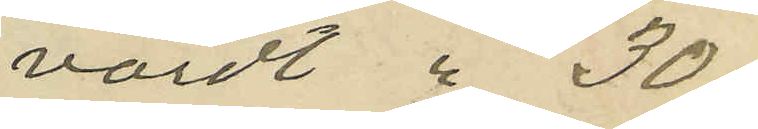värdt 30,
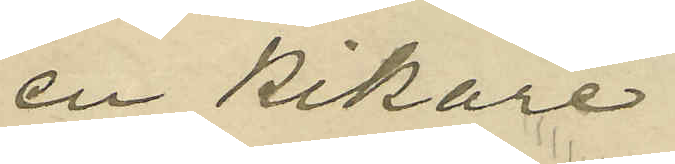en kikare
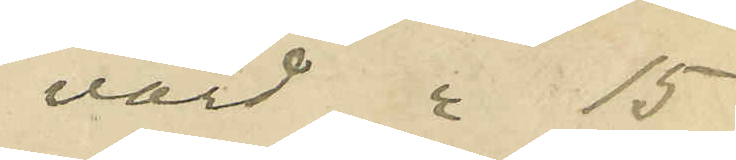värd 15
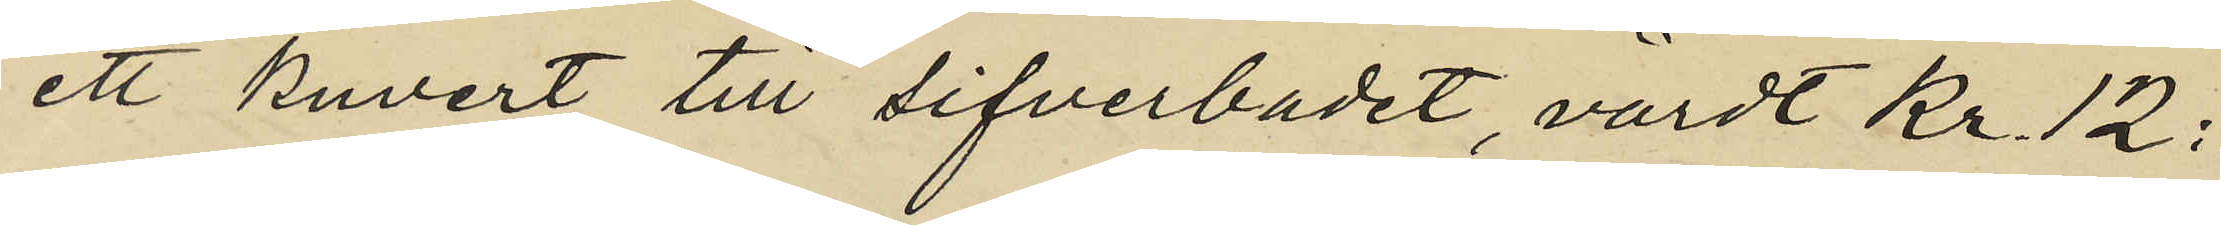ett kuvert till sifverbadet, värdt Kr. 12:
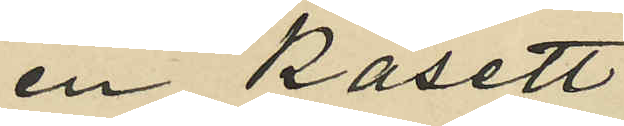en kasett
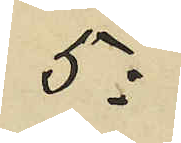5:
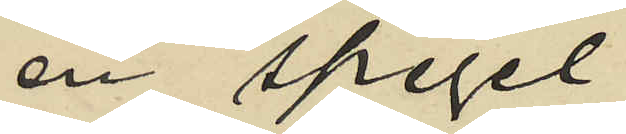en spegel
